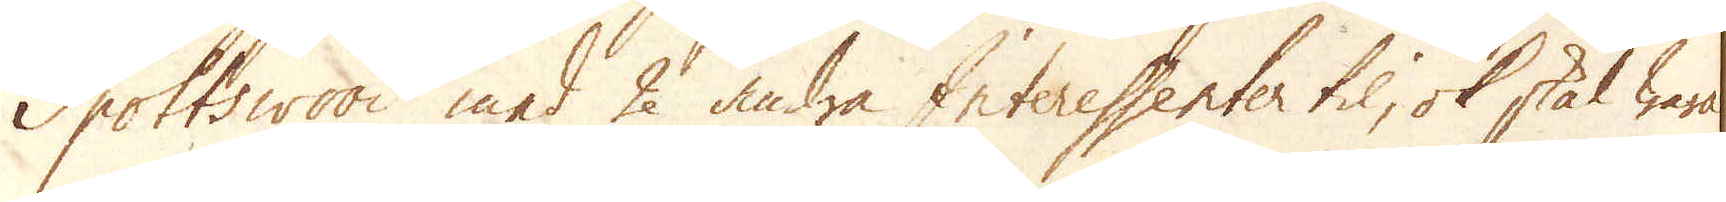Spottswood med 2 andra Interessenter til, ok skal wara
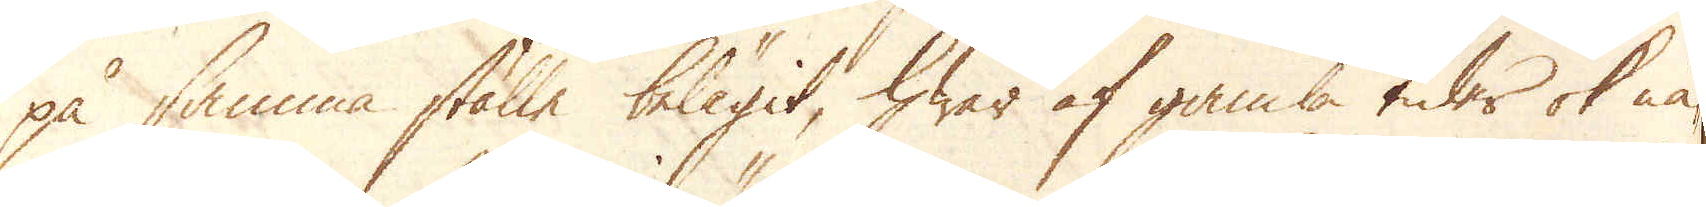på samma ställe belägit, hwar af gamla tider ok nä-
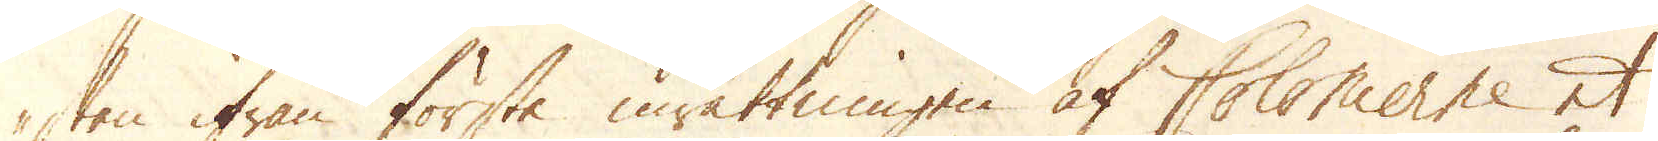stan ifrån första inrättningen af Colonierne et
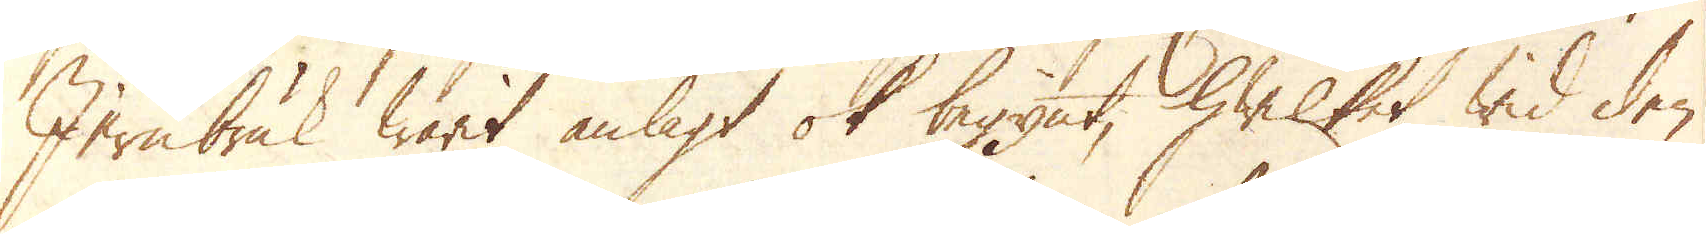Jernbruk warit anlagt ok begynt, hwilket wid den
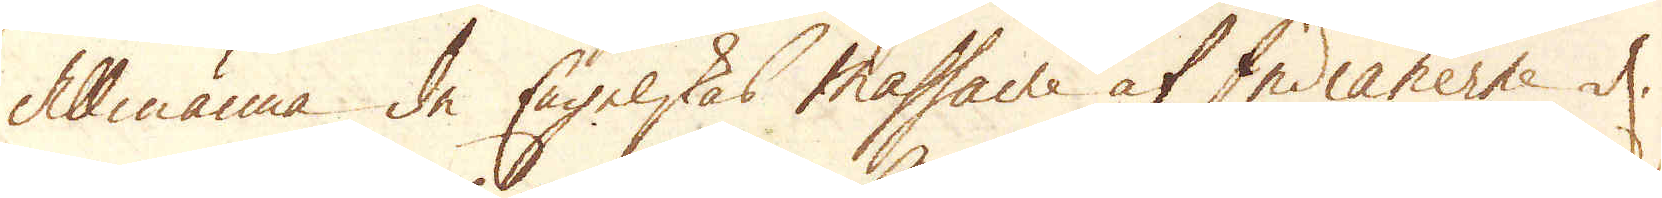Allmänna de Engelskas massacre af Indianerne d.
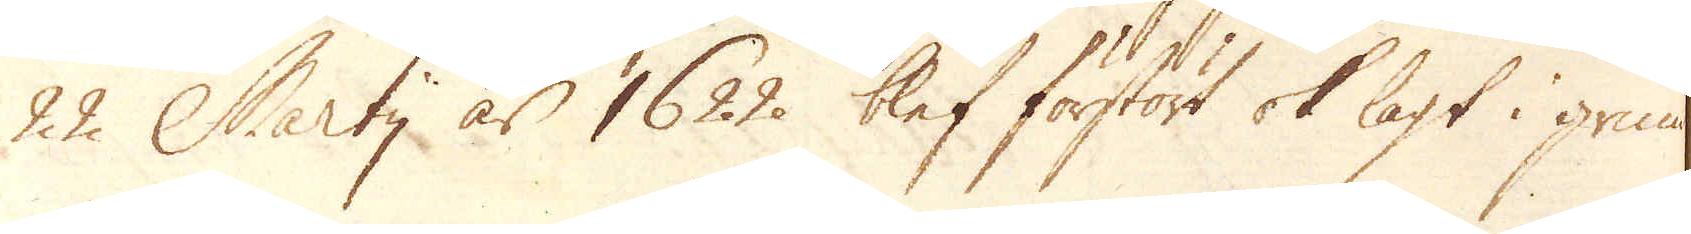22. Martij år 1622. blef förstört ok lagt i grus
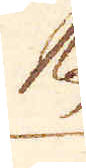Nu
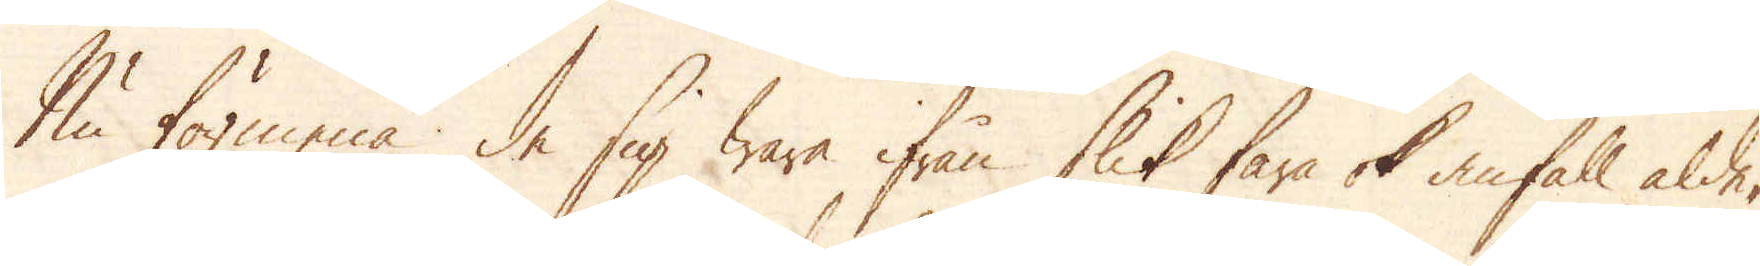Nu förmena de sig wara ifrån slik fara ok anfall alde-
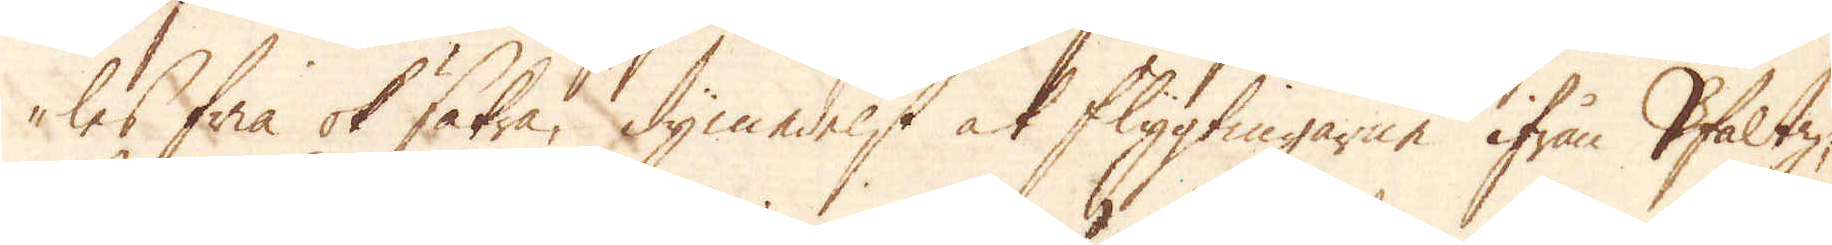les fria ok säkra, dymedelst at flygtingarne ifrån Pfaltz,
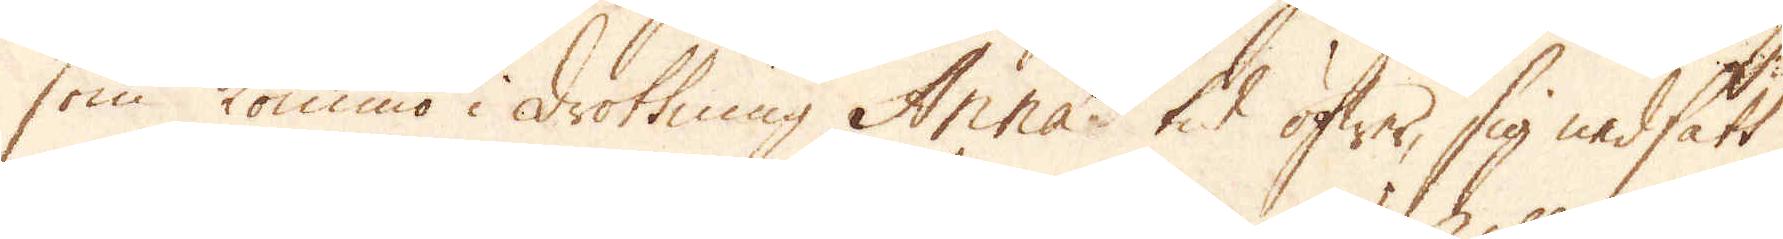som kommo i Drottning Anna's tid öfwer, sig nedsatt
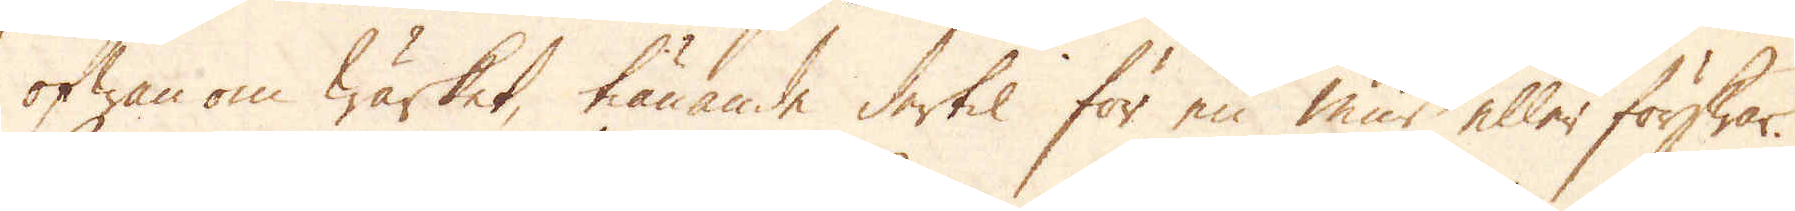ofwanom Wärket, tiänande dertil för en mur eller förswar.
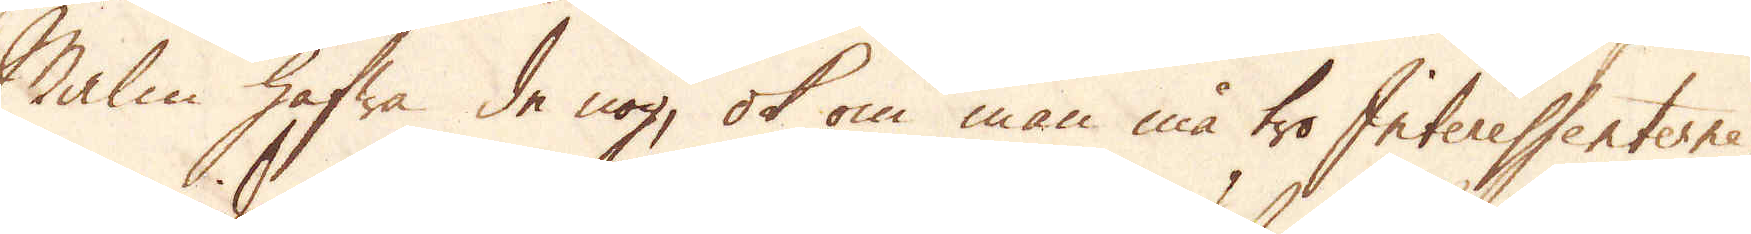Malm hafwa de nog, ok om man må tro Interessenterne,
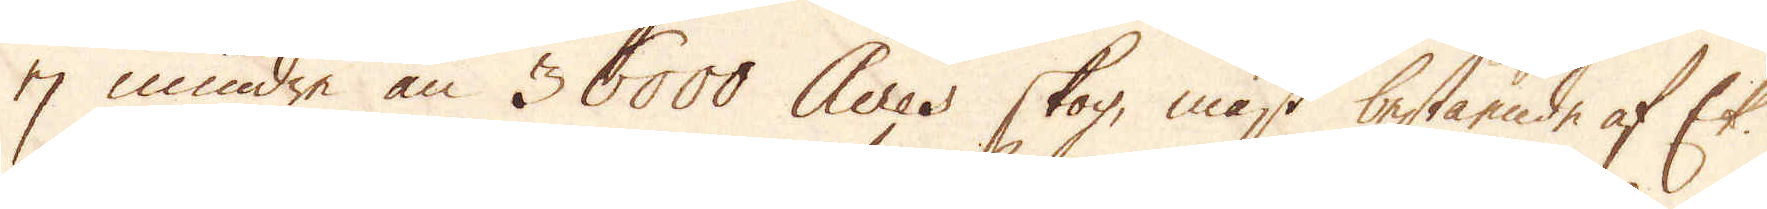ej mindre än 36000 Acres skog, mäst bestående af Ek.
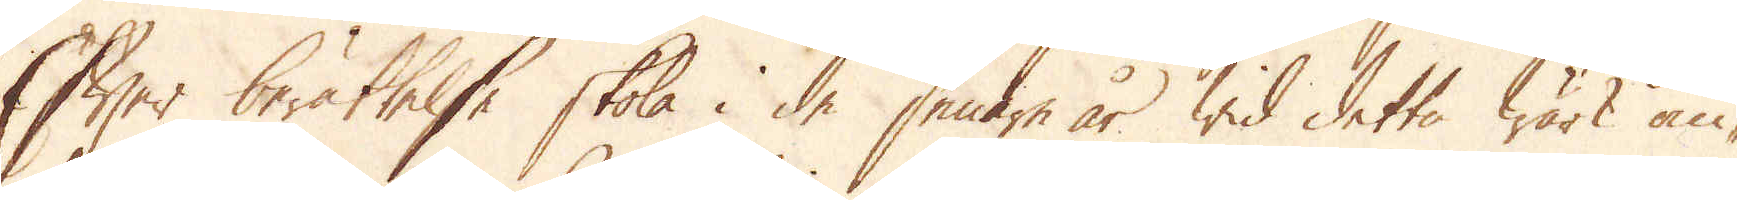Efter berättelse skola i de senare år wid detta wärk om-
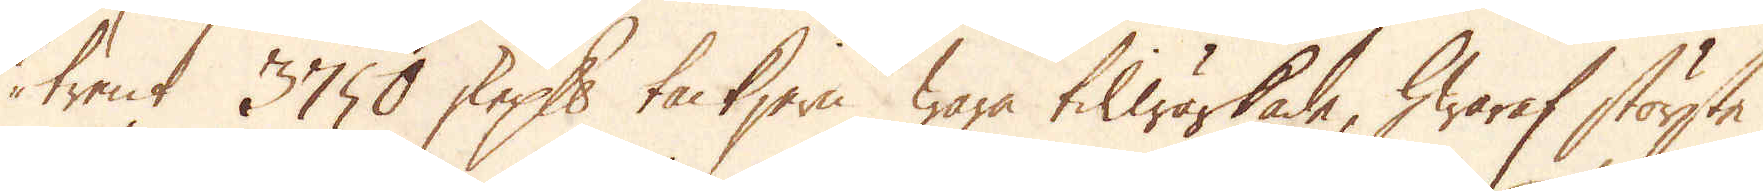trent 3750 skeppund tackjern wara tilwärkade, hwaraf störste
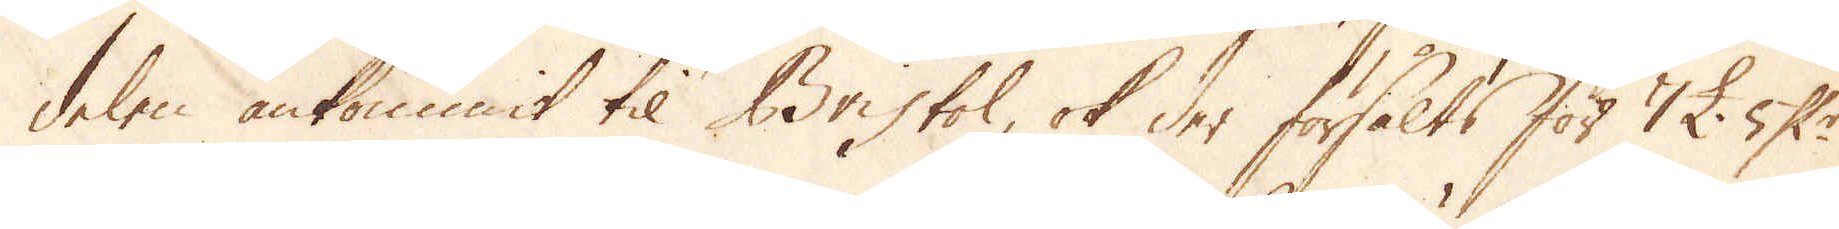delen ankommit til Bristol, ok der försålts för 7 £. 5 Sk:r
